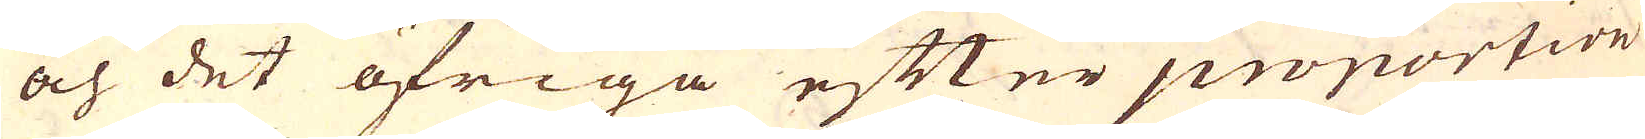och det öfriga efter proportion
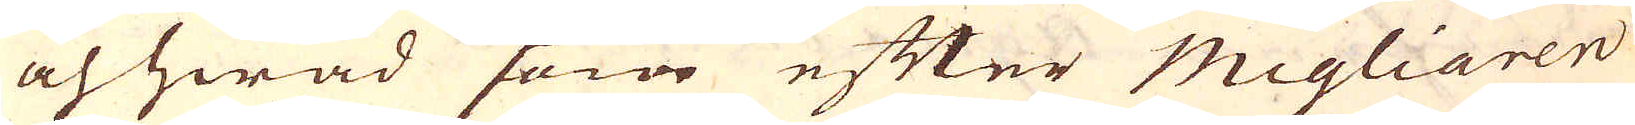och hwad som efter Migliaren
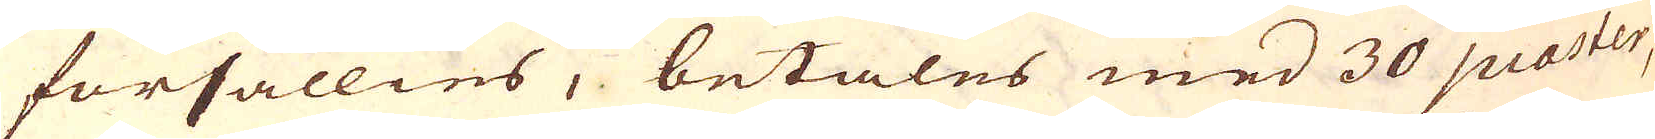försällies, betales med 30 piaster,
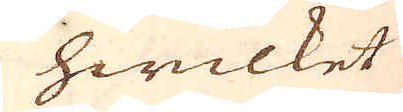hwilket
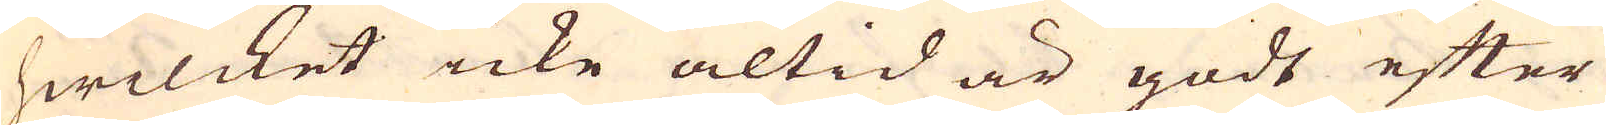hwilcket icke altid är godt efter
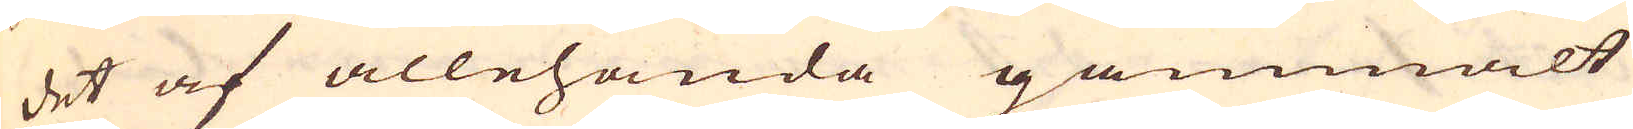det af allehanda gammalt
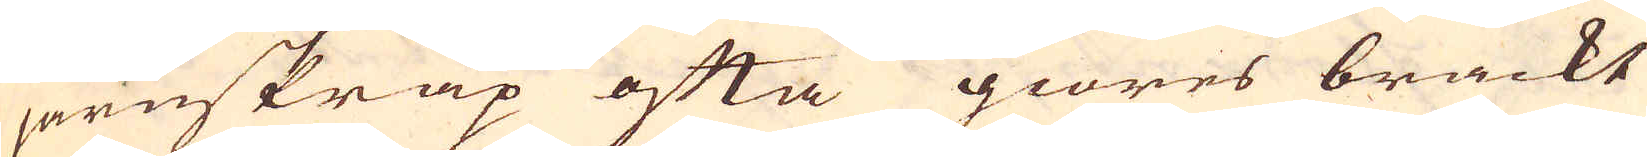järnskrap ofta giöres bräckt
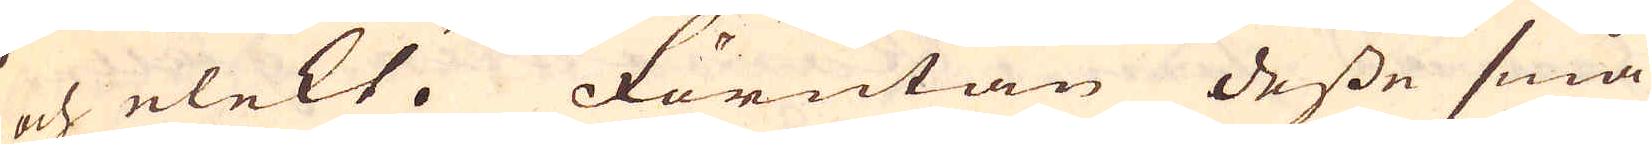och elekt. Förutan desse små
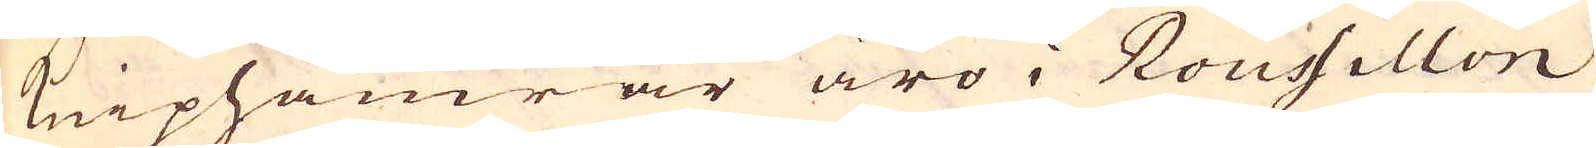kniphamrar äro i Roussillon
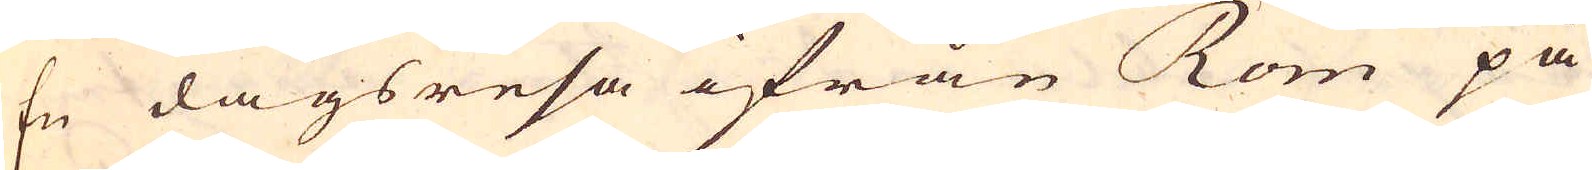En dagsresa ifrån Rom på
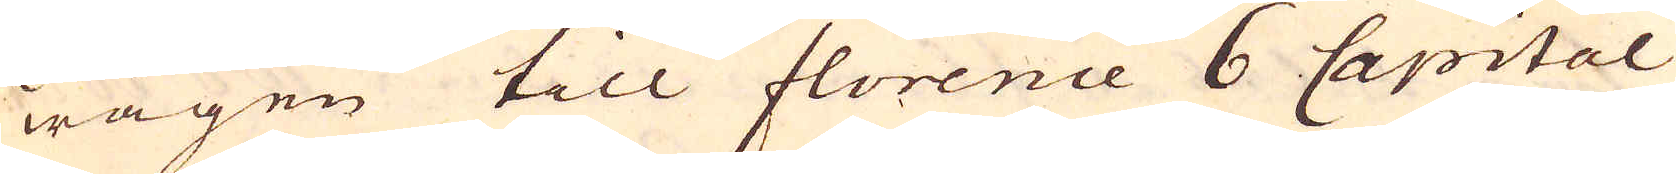wägen till florence 6 Capital
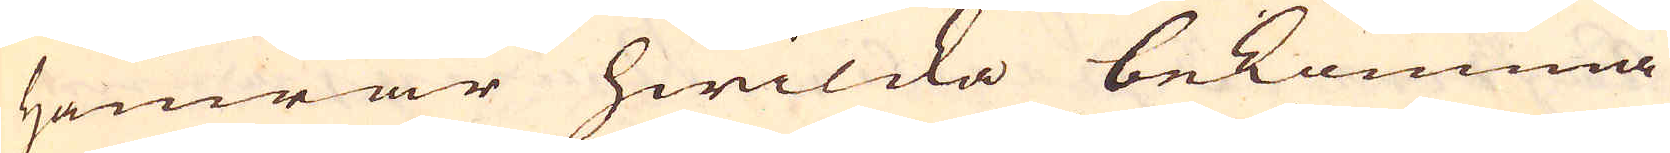Hamrar hwilcka bekomma
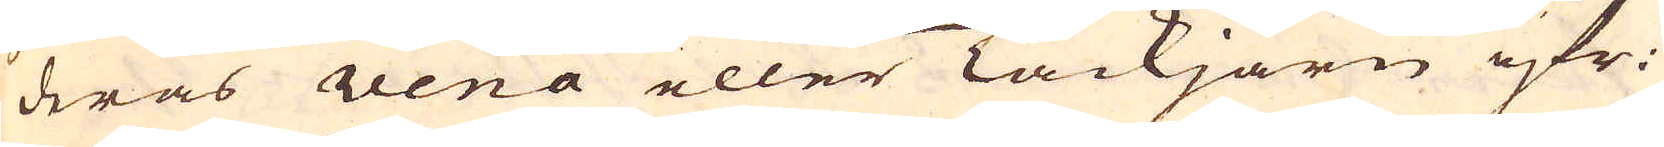deras rena eller Tackjärn ifr:
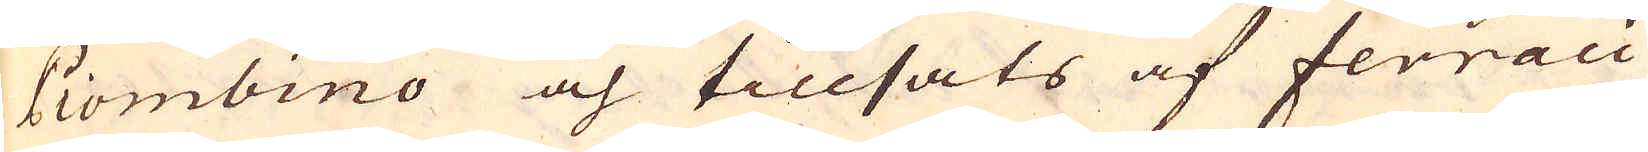Piombino och tillsats af ferraci
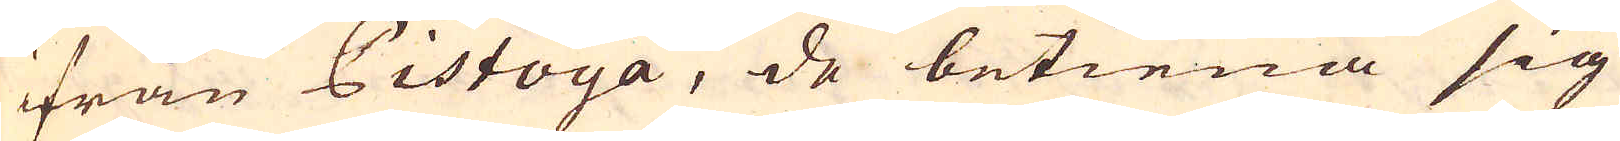ifrån Pistoya, de betiena sig
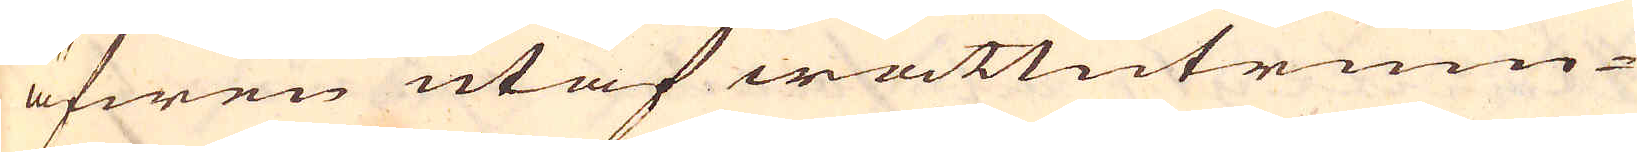äfwen utaf wattutrum-
